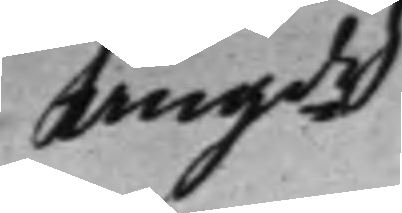angde
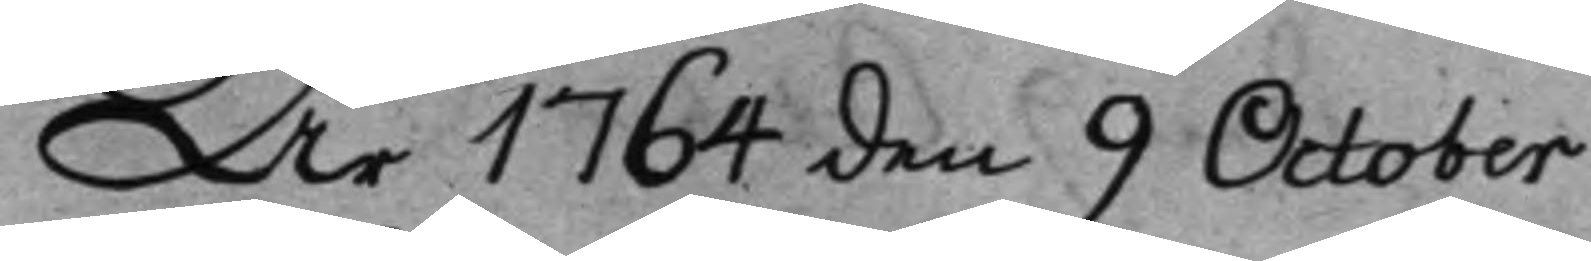År 1764 den 9 October
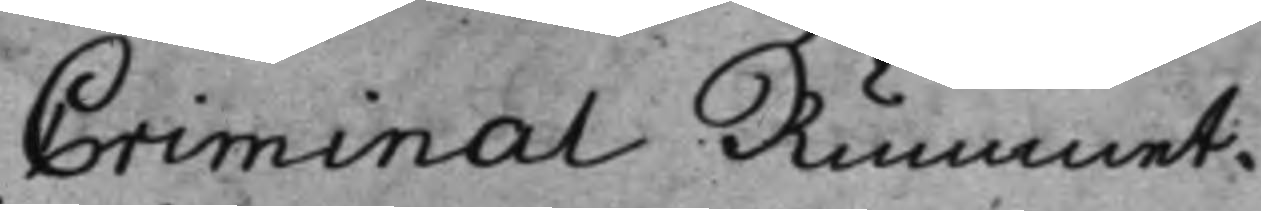Criminal Rummet.
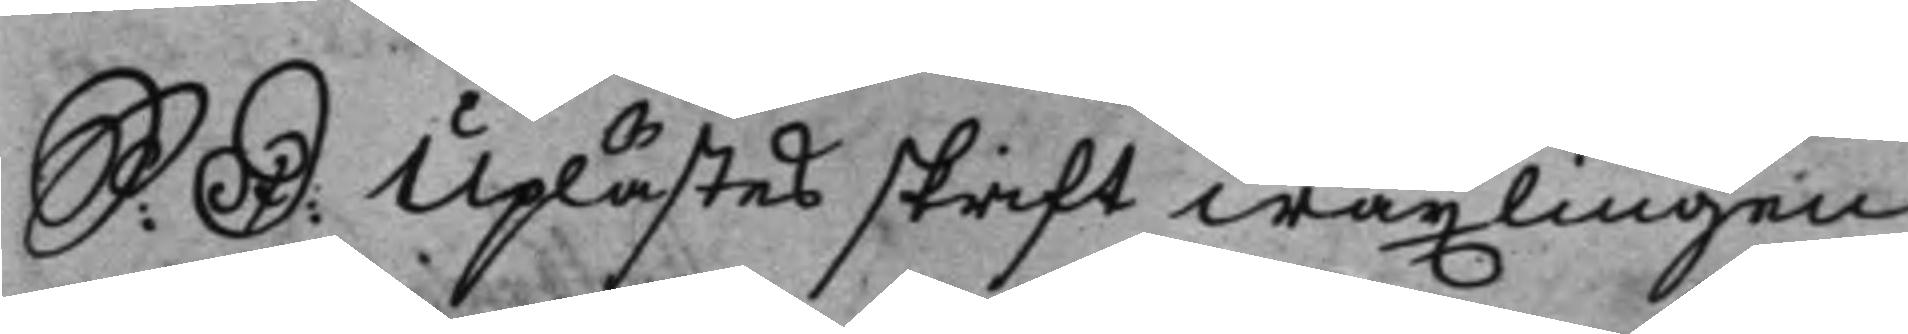S: D: Uplästes skriftwäxlingen
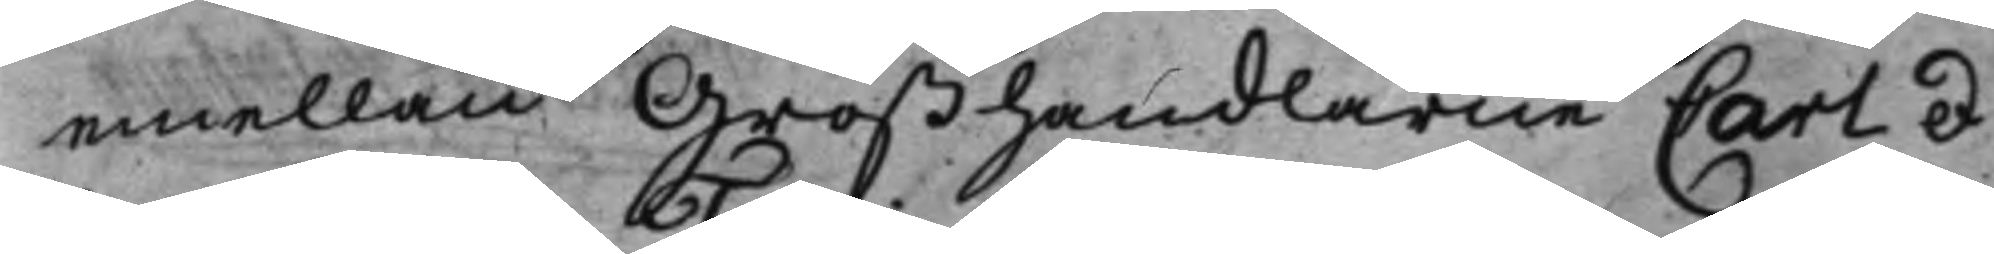emellan Großhandlarne Carl et
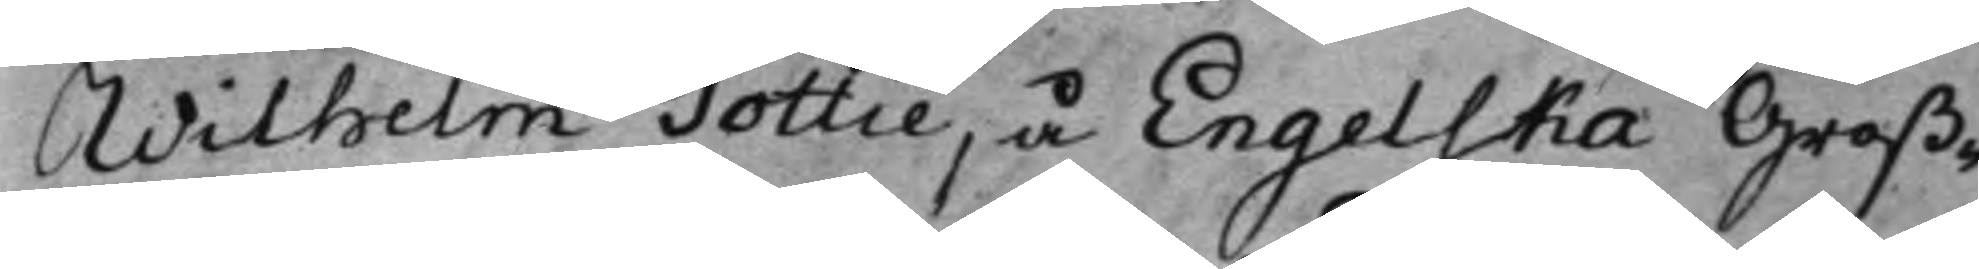Wilhelm Tottie, å Engelska Groß¬
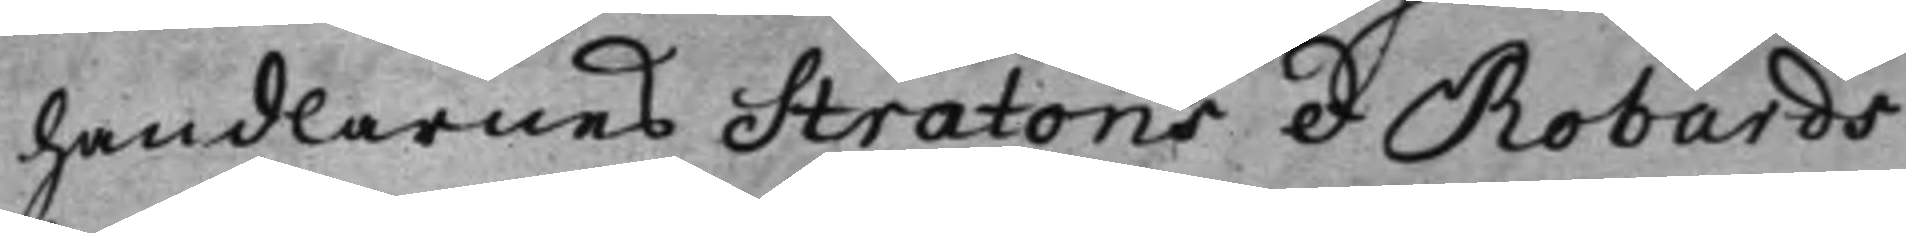handlarnes Stratons et Robards
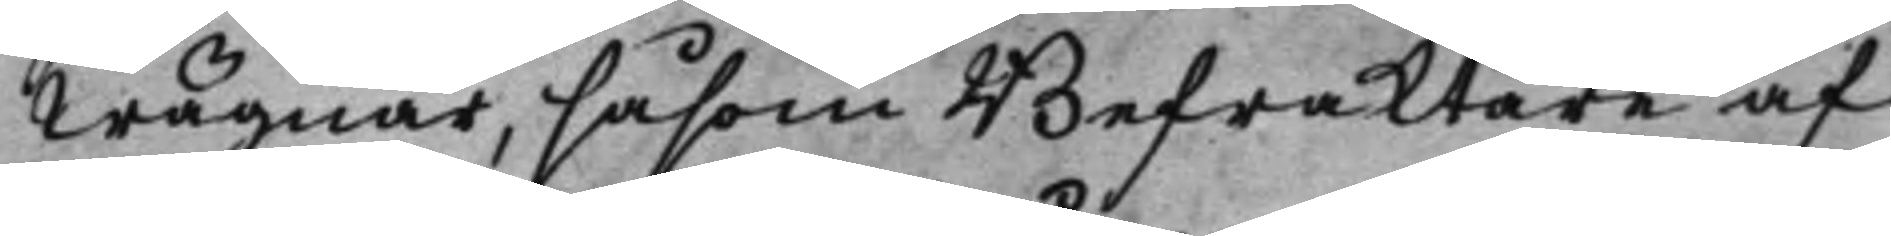wägnar, såsom Befraktare af
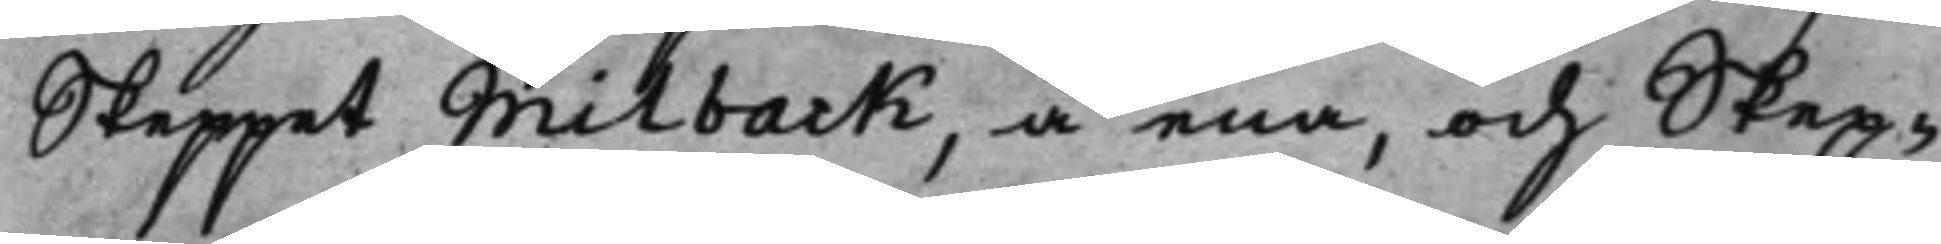Skeppet Milback, å ena, och Skep¬
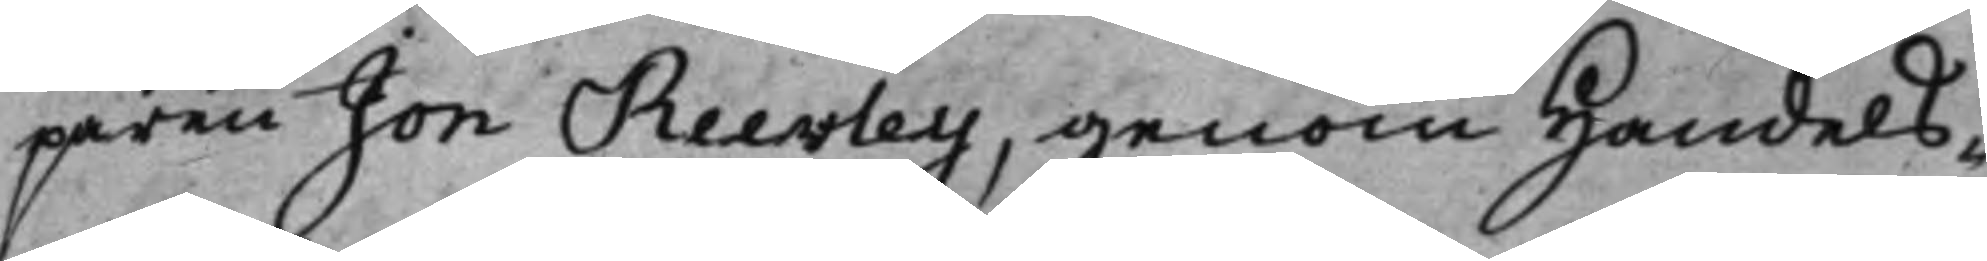paren Jon Reevley, genom Handels¬
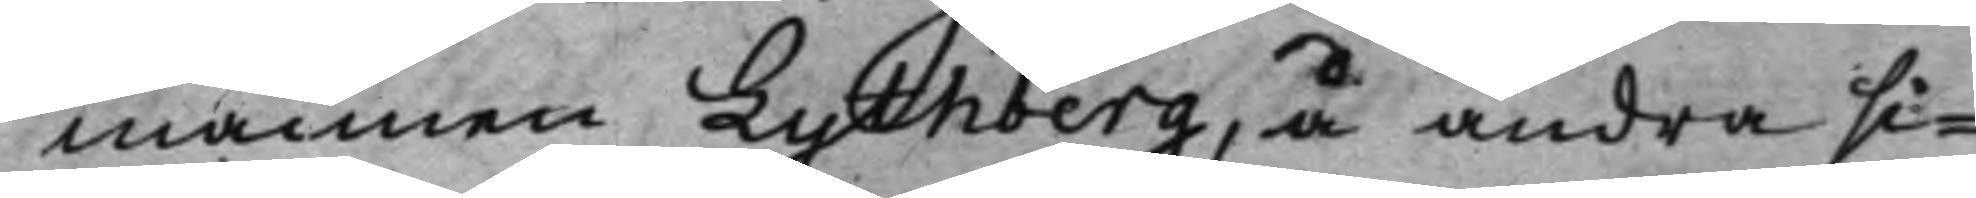mannen Lythberg, å andra si¬
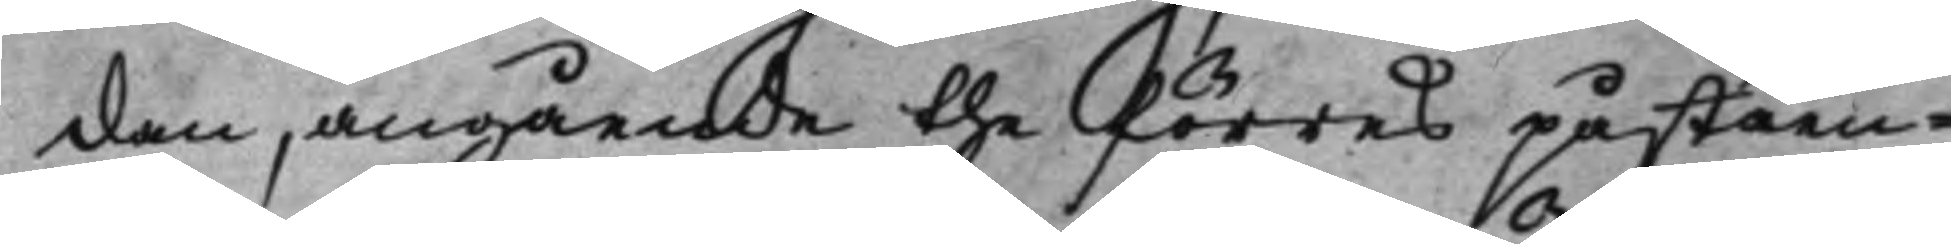dan, angående the förres påståen¬
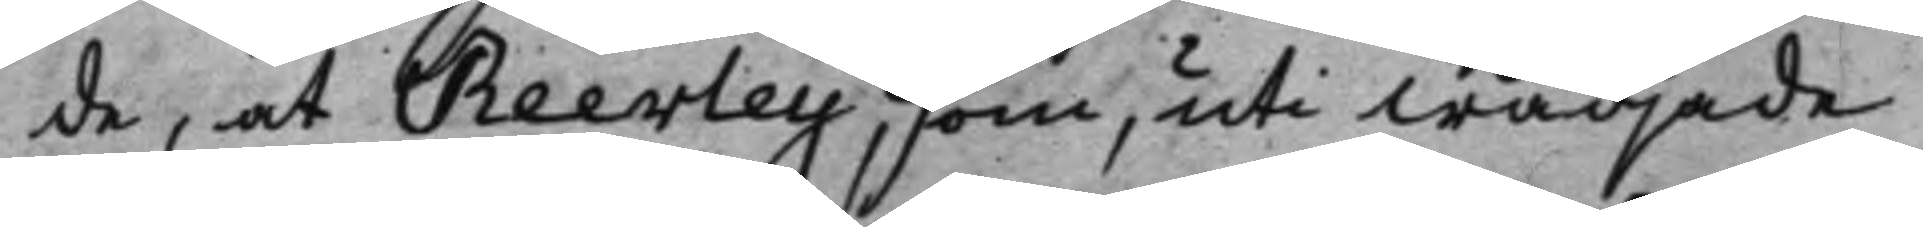de, at Reevley, som, uti wädjade
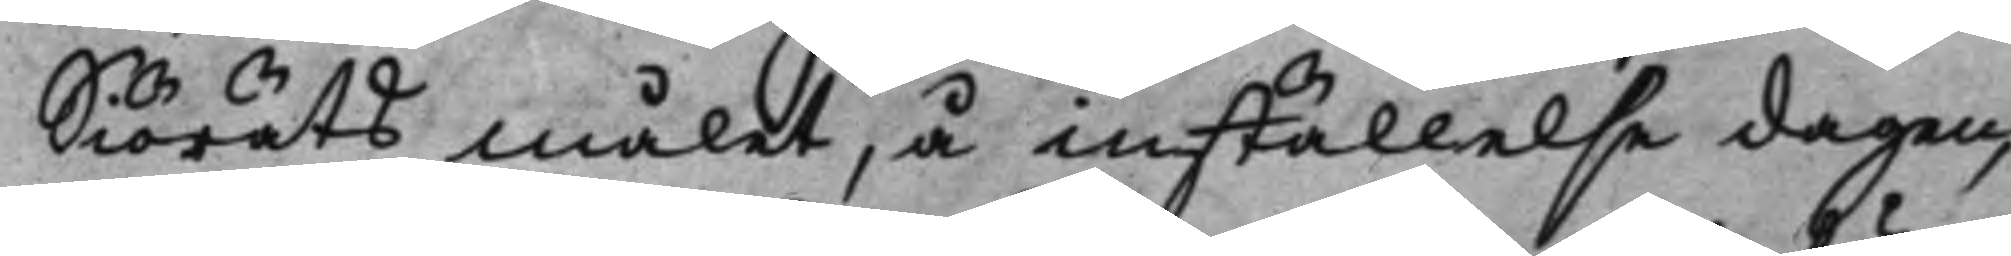Siöräts målet, å inställelsedagen,
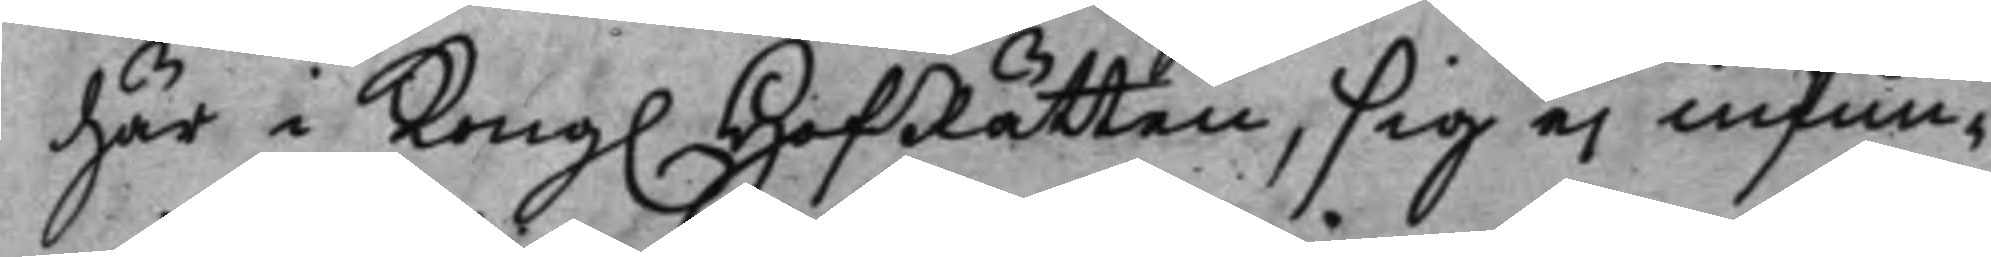här i Kong. HofRätten, sig ej infun¬
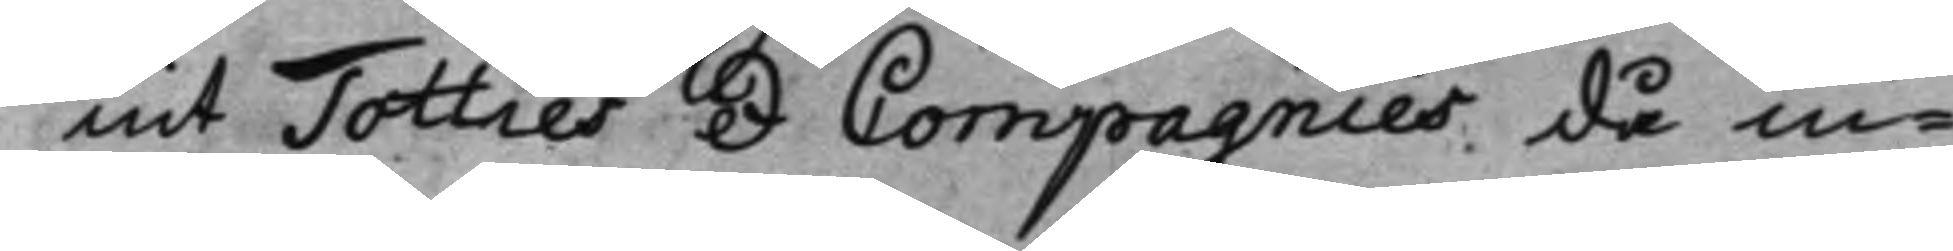nit Totties et Compagnies då in¬
